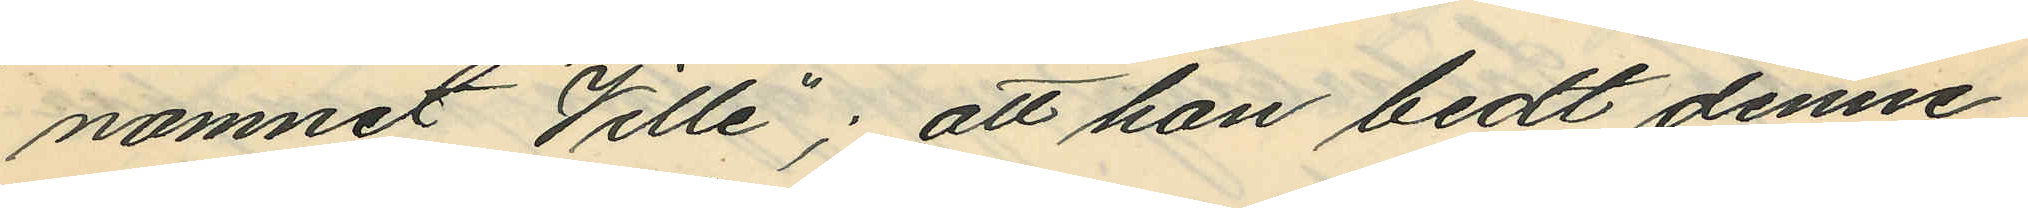namnet "Ville"; att han bedt denne
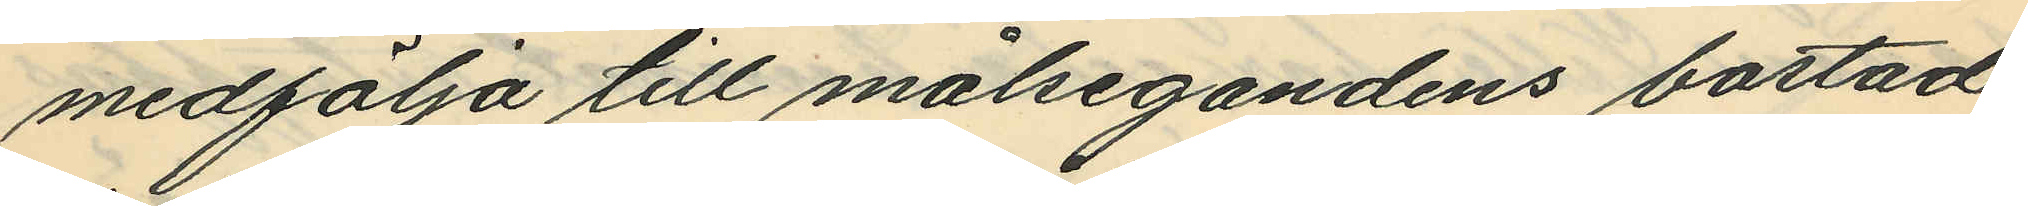medfölja till målsegandens bostad
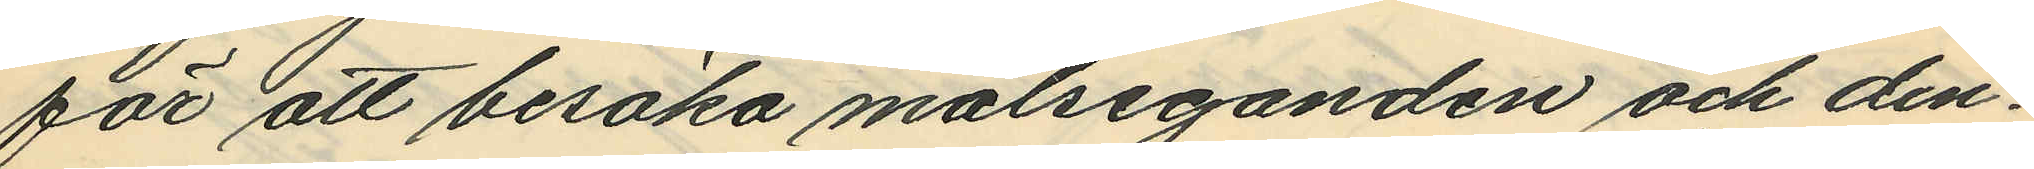för att besöka målseganden och den¬
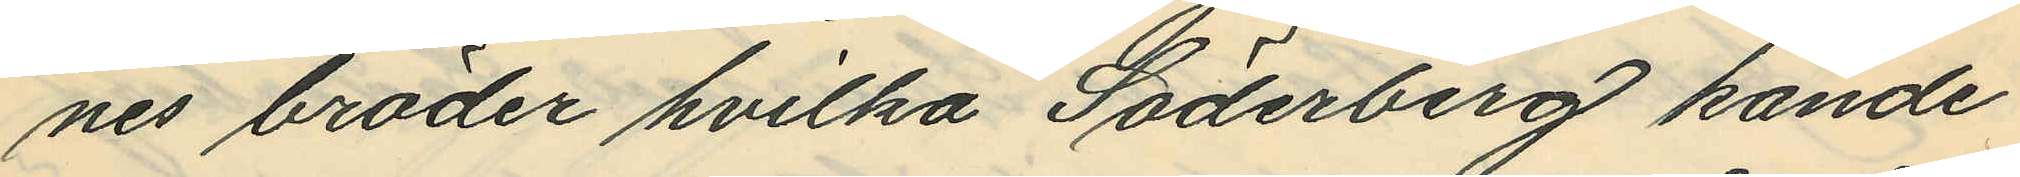nes bröder hvilka Söderberg kände
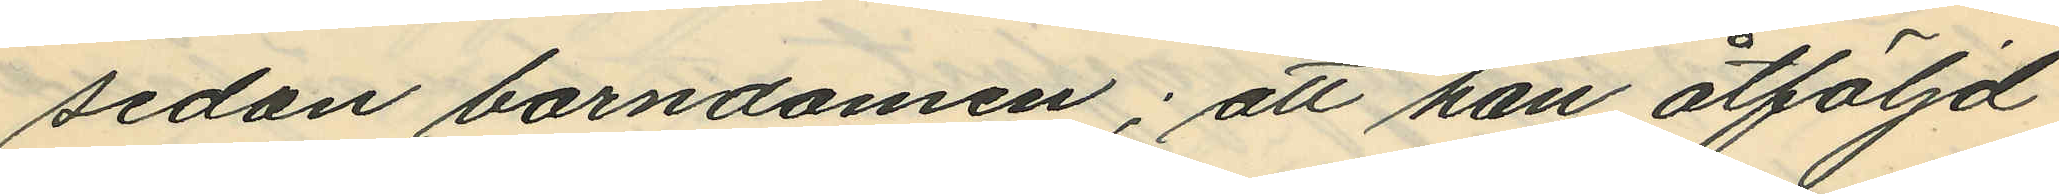sedan barndomen; att han åtföljd
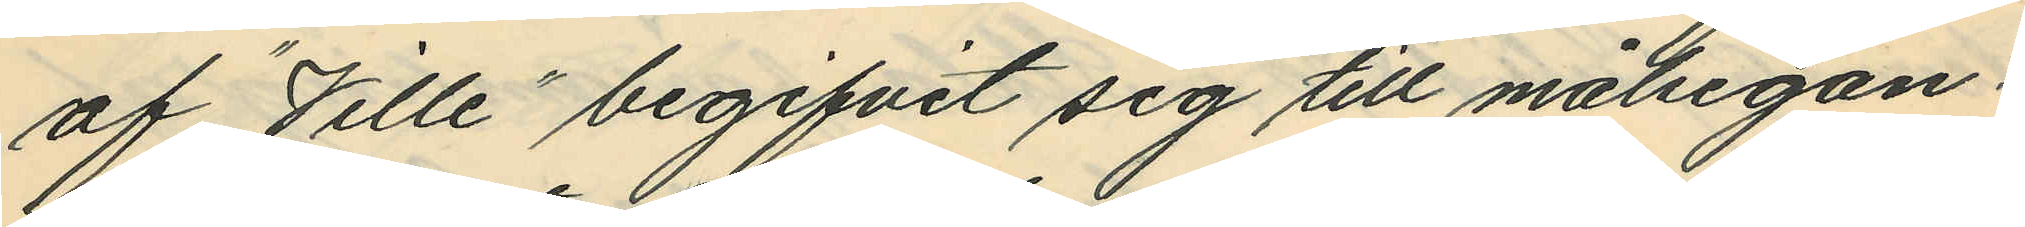af "Ville" begifvit sig till målsegan¬
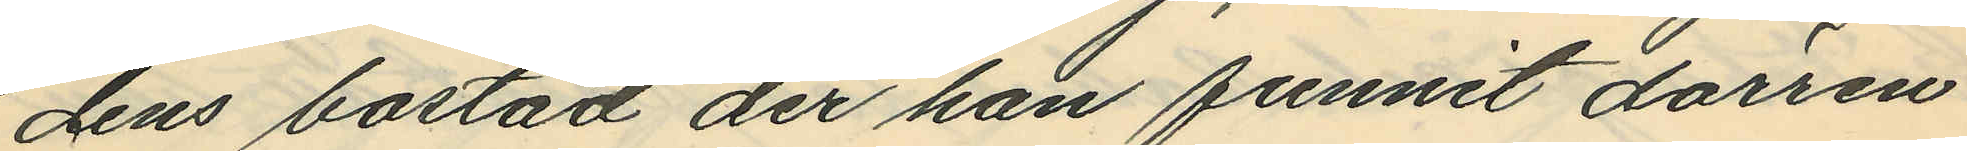dens bostad der han funnit dörren
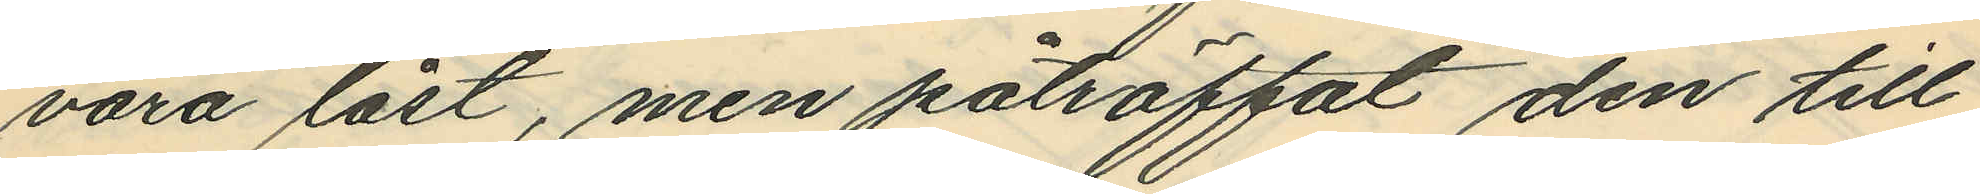vara låst, men påträffat den till
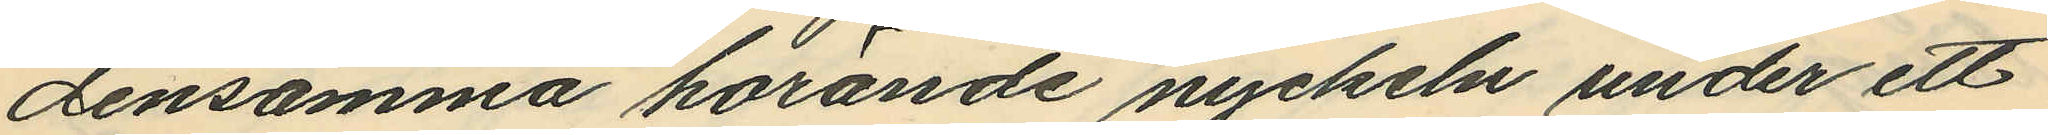densamma hörande nyckeln under ett
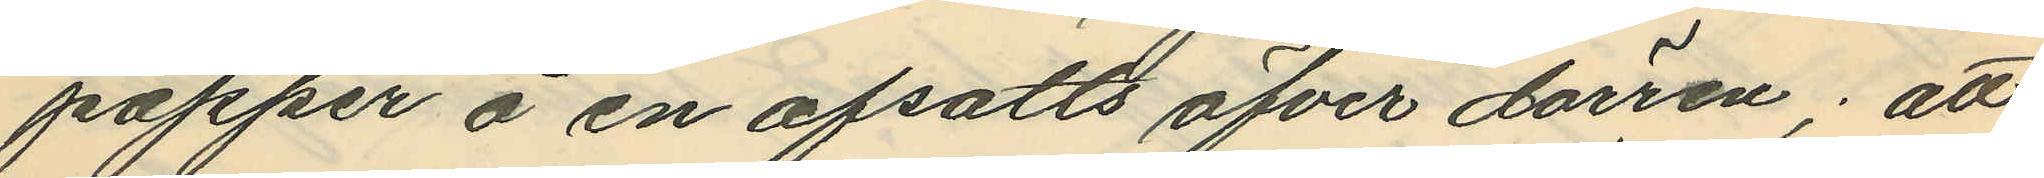papper å en afsatts öfver dörren; att
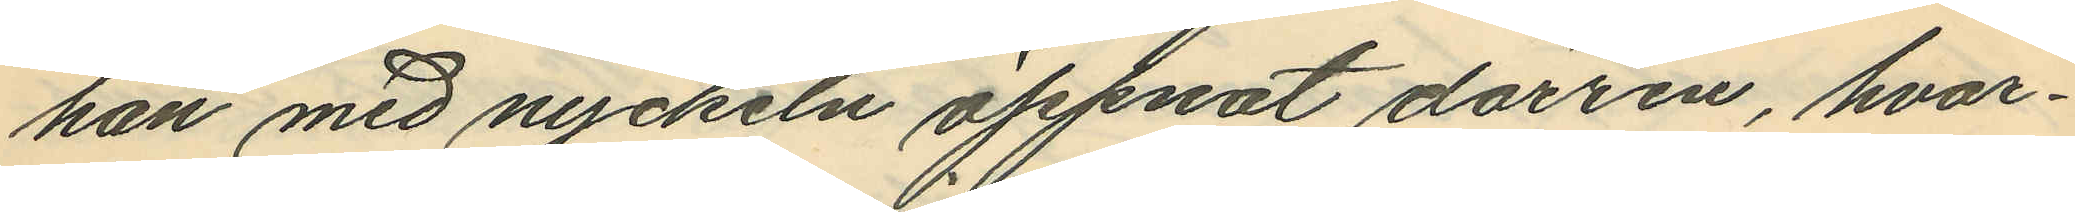han med nyckeln öppnat dörren, hvar¬
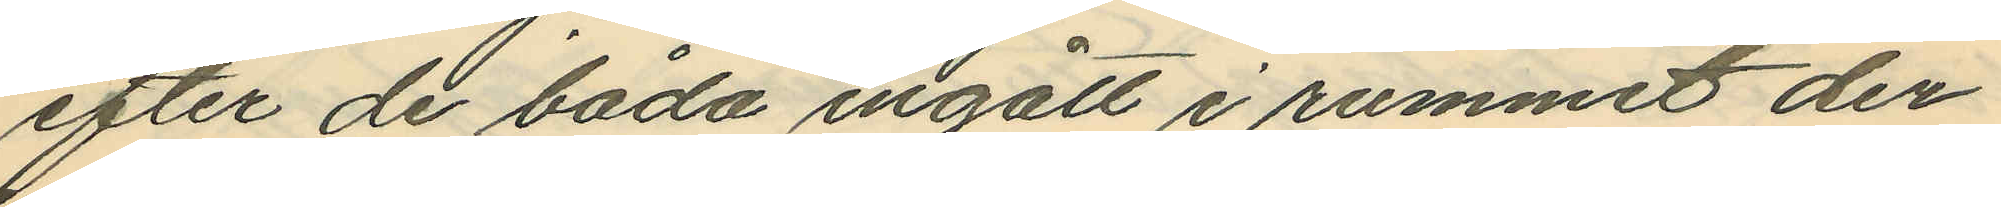efter de båda ingått i rummet der
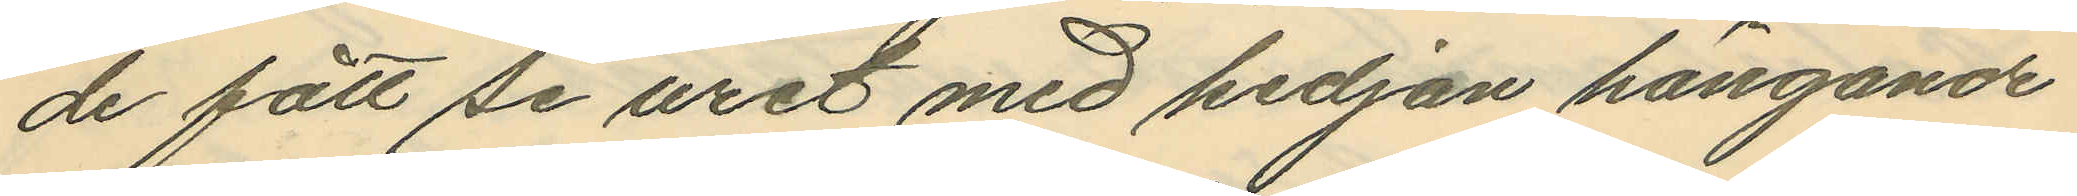de fått se uret med kedjan hängande
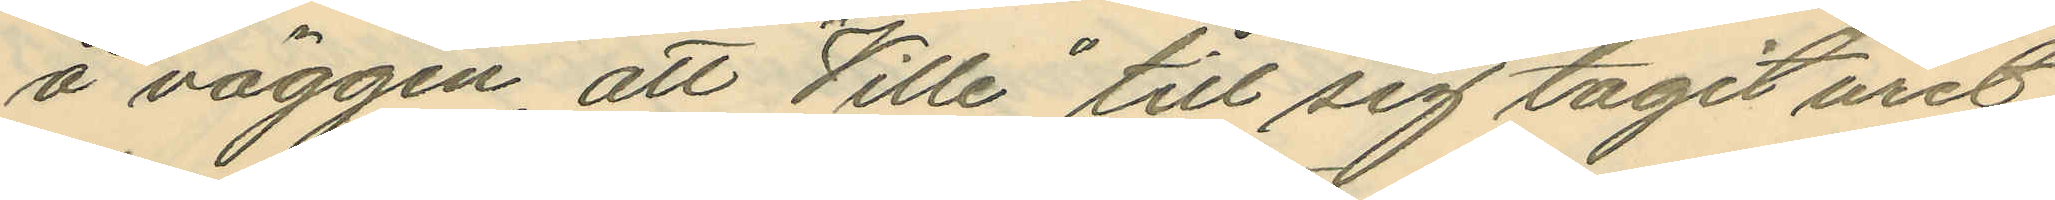å väggen, att "Ville" till sig tagit uret
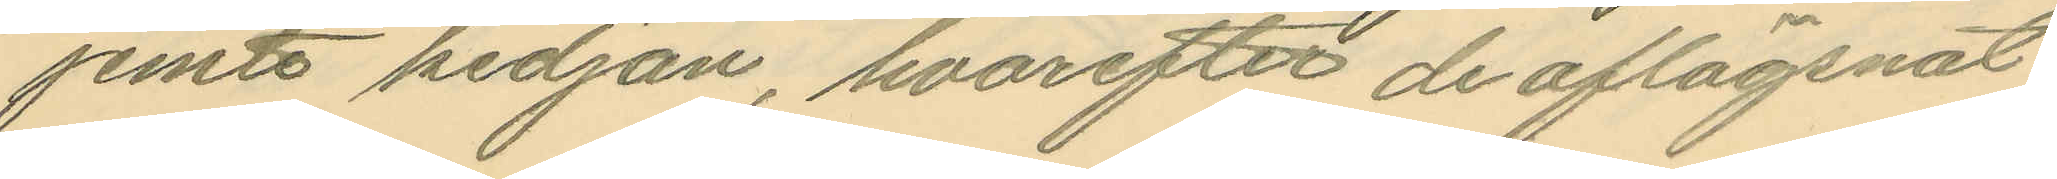jemte kedjan, hvarefter de aflägsnat
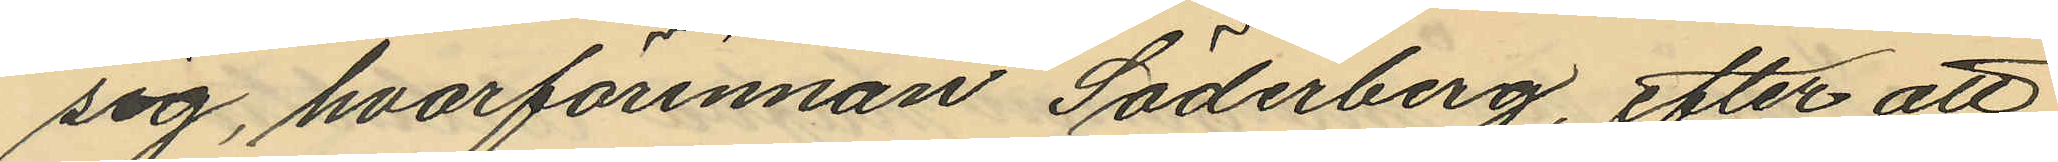sig, hvarförinnan Söderberg, efter att
